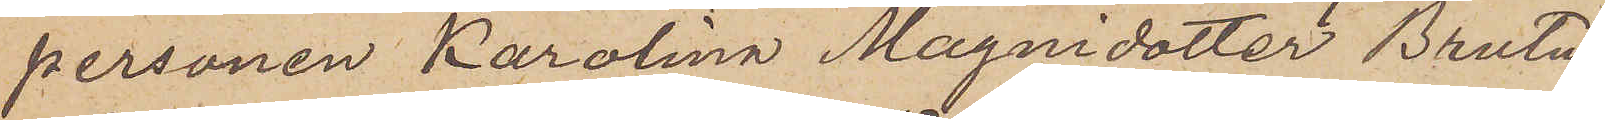personen Karolina Magnidotter Brutus,
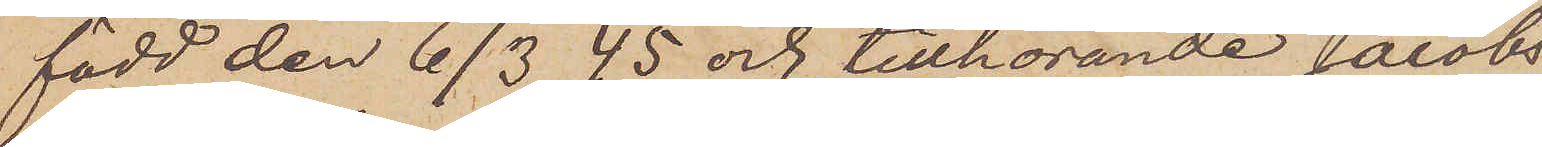född den 6/3 45 och tillhörande Jacobs
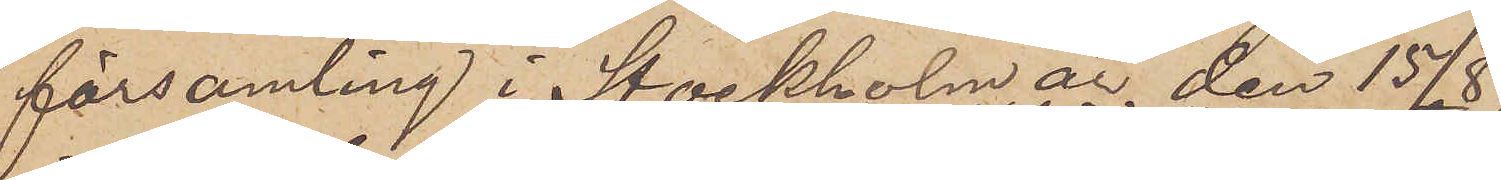församling i Stockholm är den 15/8
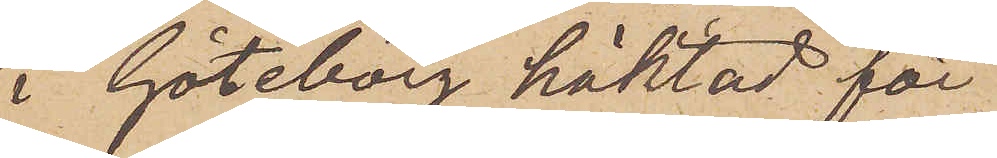i Göteborg häktad för
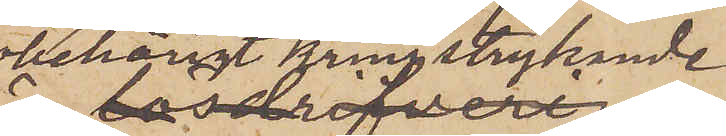obehörigt kringstrykande
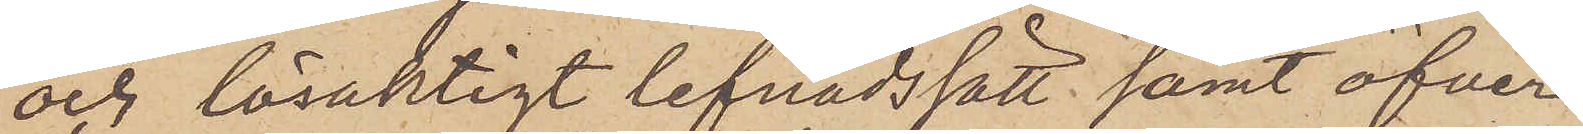och lösaktigt lefnadssätt samt öfver¬
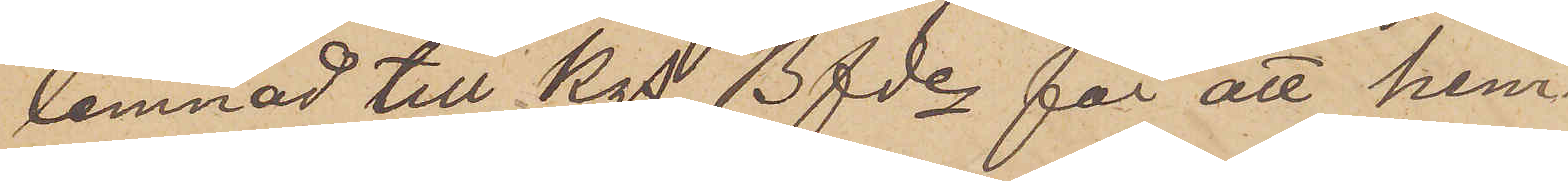lemnad till Kgs Bfde för att hem¬
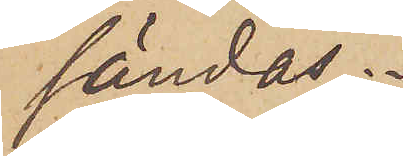sändas.
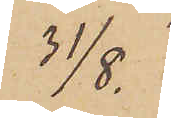31/8.
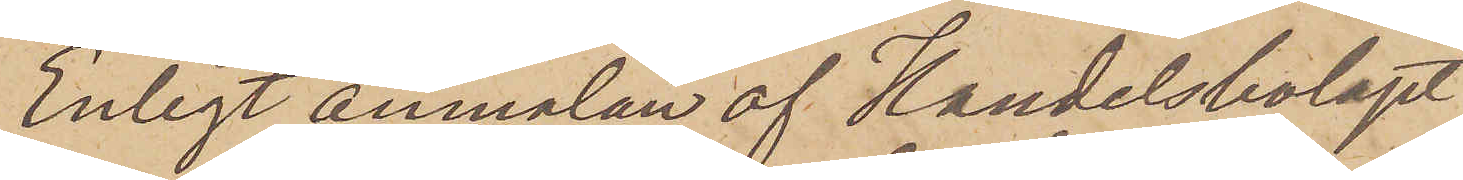Enligt anmälan af Handelsbolaget
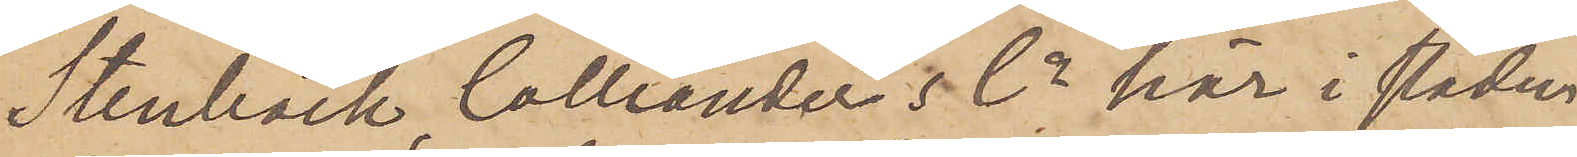Stenbäck Colliander & Co här i staden
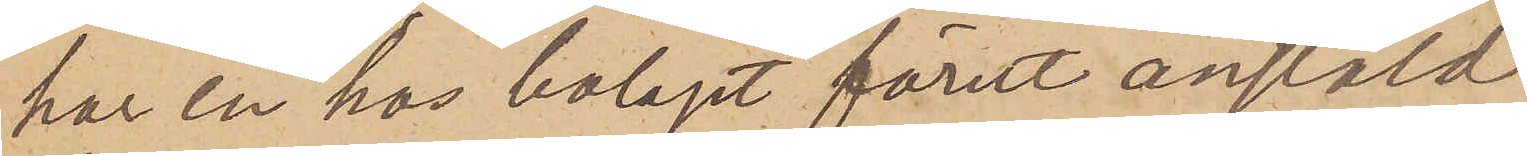har en hos bolaget förut anstäld
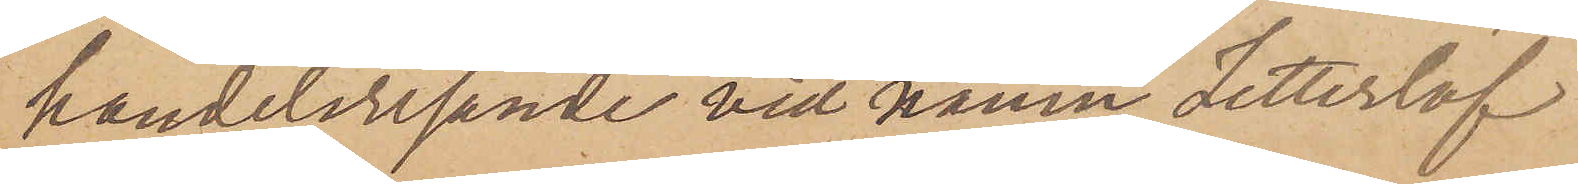handelsresande vid namn Zetterlöf
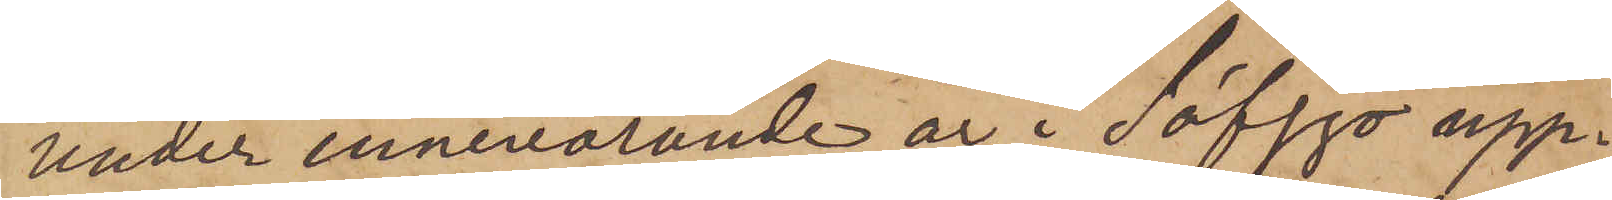under innevarande år i Säfsjö upp¬
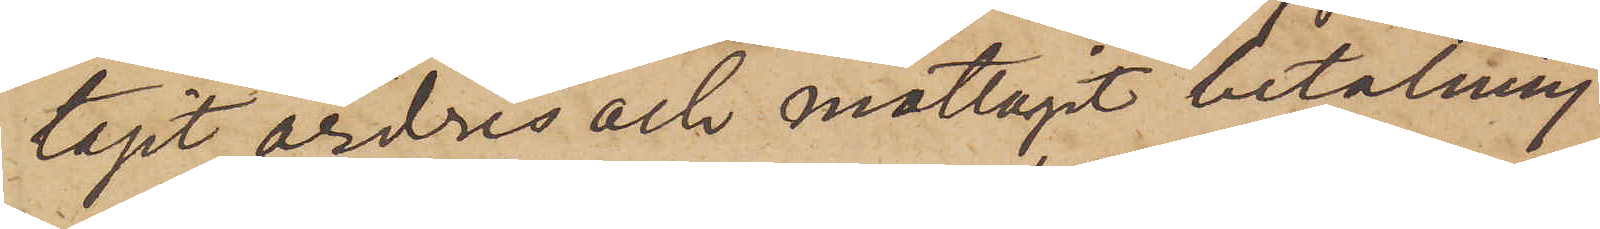tagit ordres och mottagit betalning
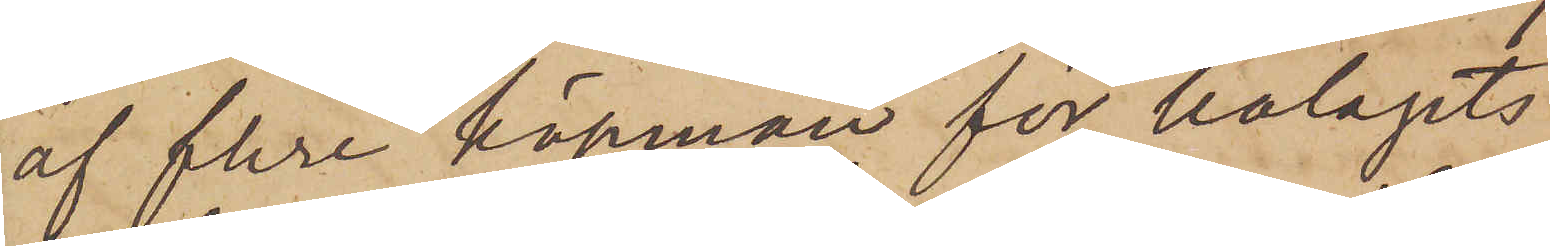af flere köpman för bolagets
